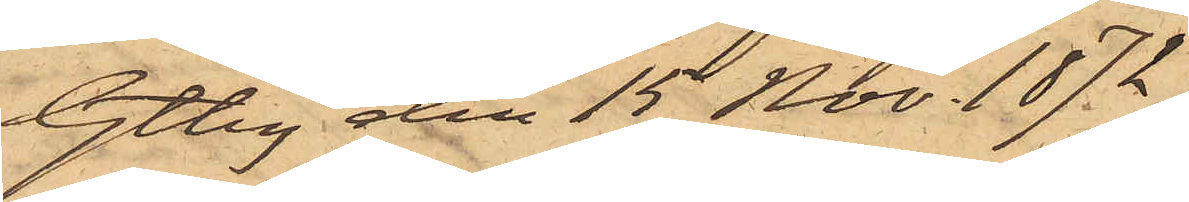Gtbg den 15 Nov. 1872.
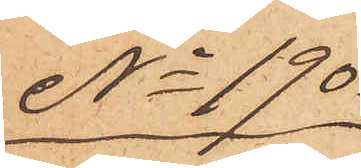No 190
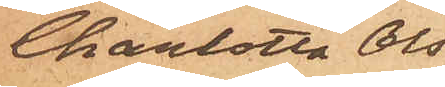Charlotta Ols¬
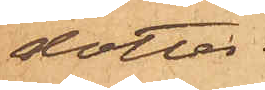dotter.
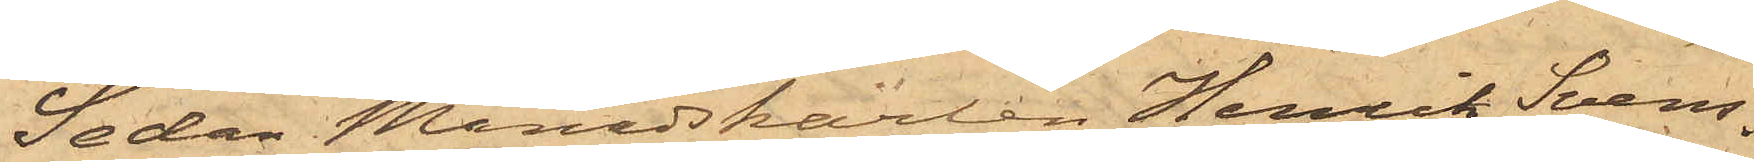Sedan Månadskarlen Henrik Svens¬
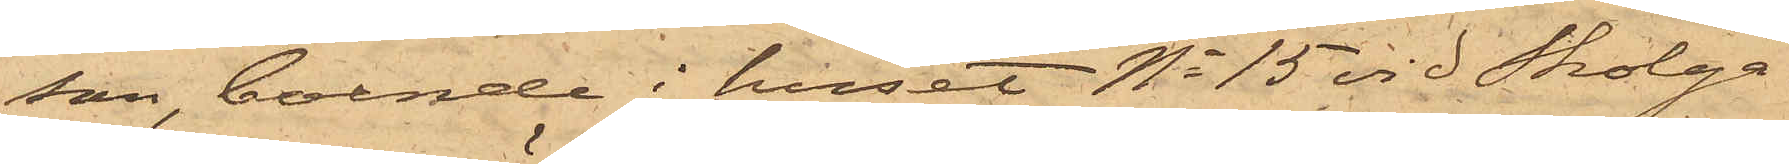son, boende i huset No 15 vid Skolga¬
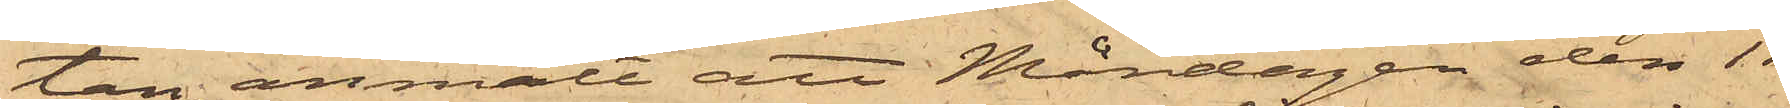tan, anmält att Måndagen den 11
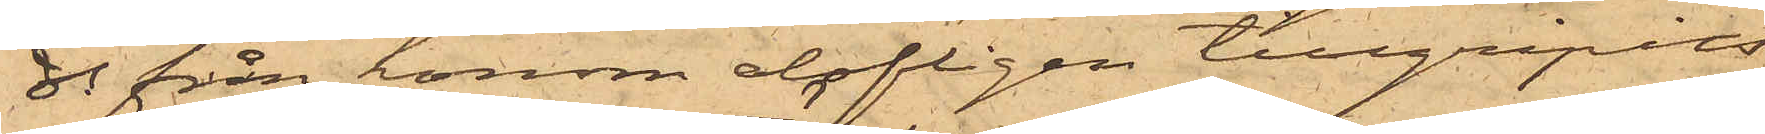ds från honom olofligen tillgripits
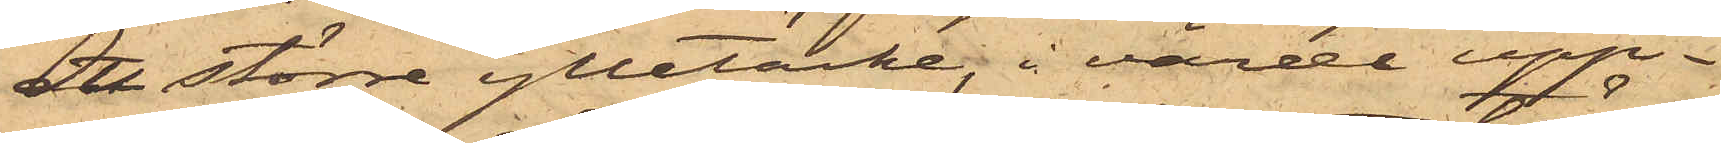ett större ylletäcke, i värde upp¬
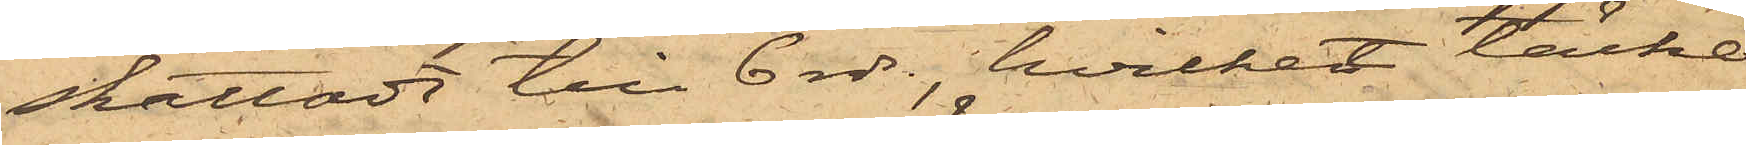skattadt till 6 rdr, hvilket täcke
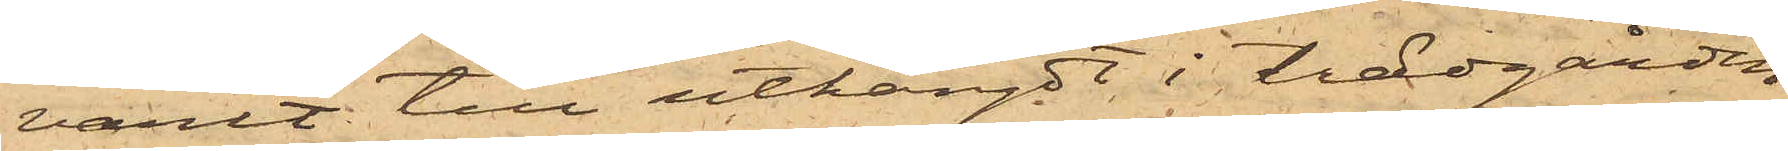varit till uthängdt i trädgården
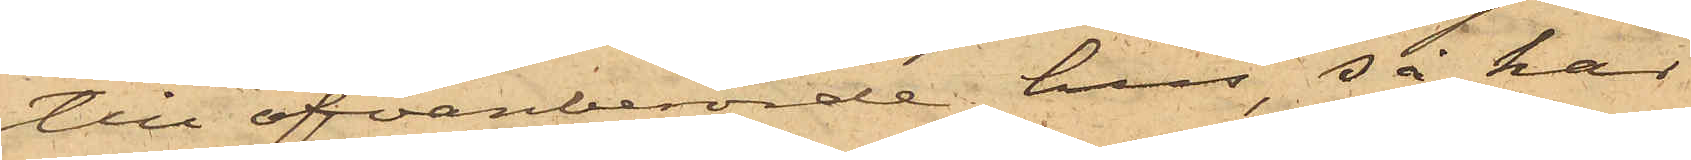till ofvanberörde hus, så har
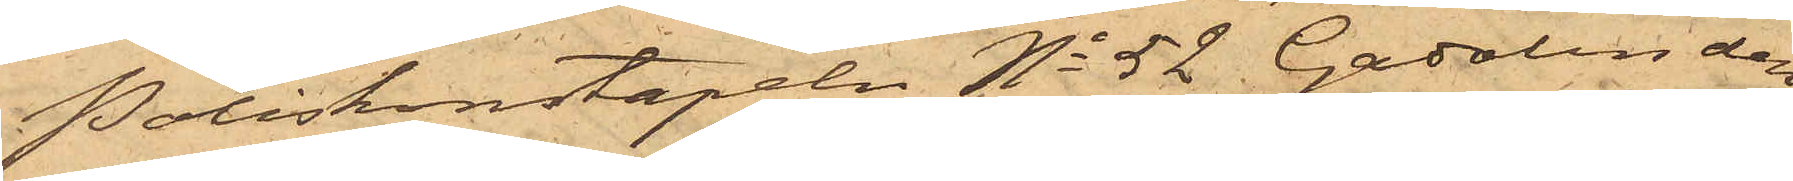Poliskonstapeln No 52 Gadolin den
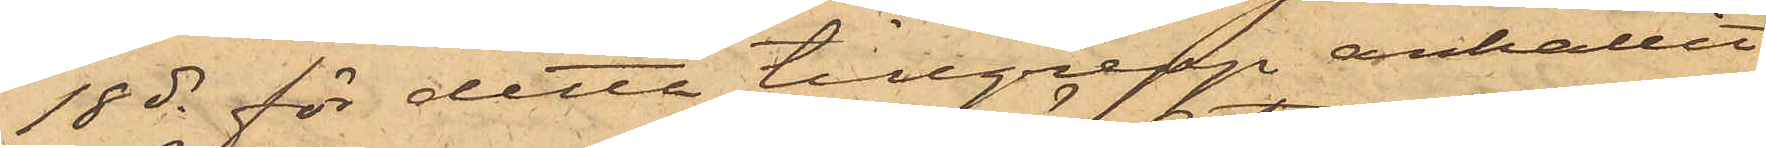18 ds för detta tillgrepp anhållit
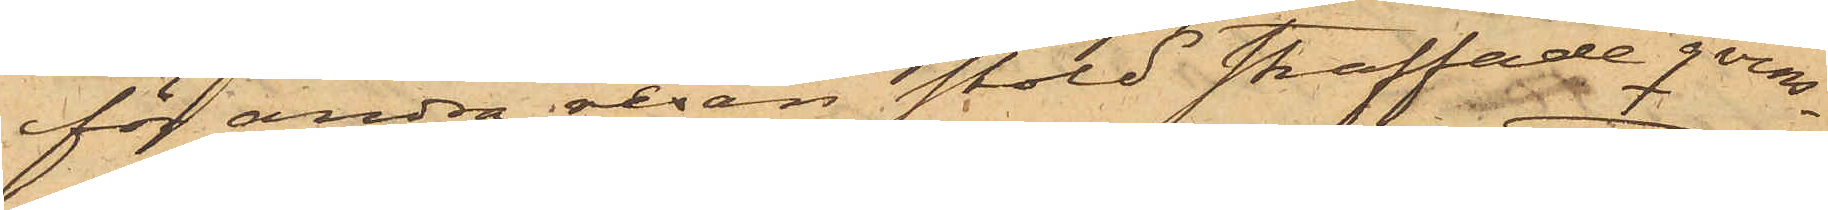för andra resan stöld straffade qvins¬
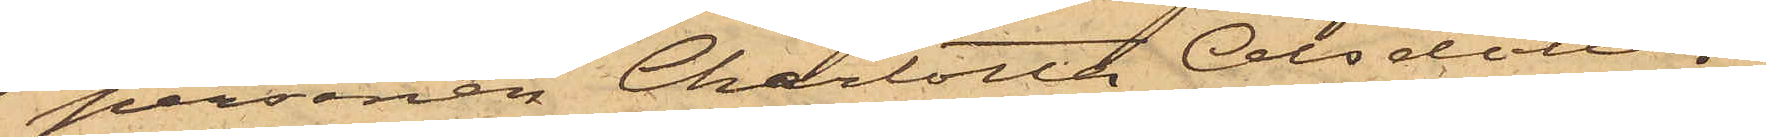personen Charlotta Olsdotter,
